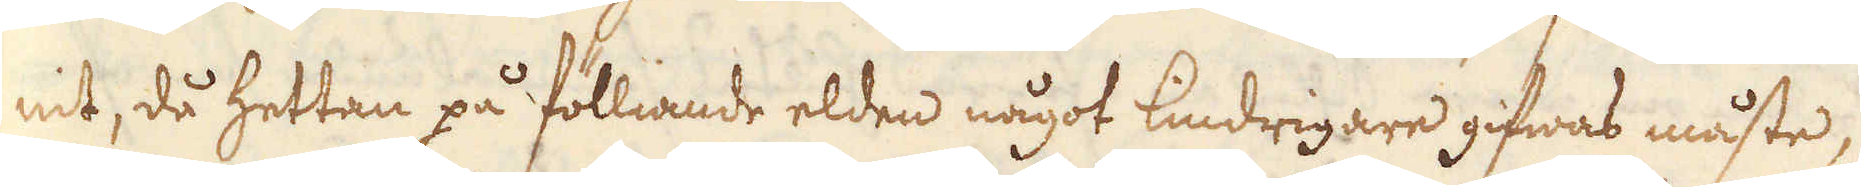nit, då hettan på fölliande elden något lindrigare gifwas måste,
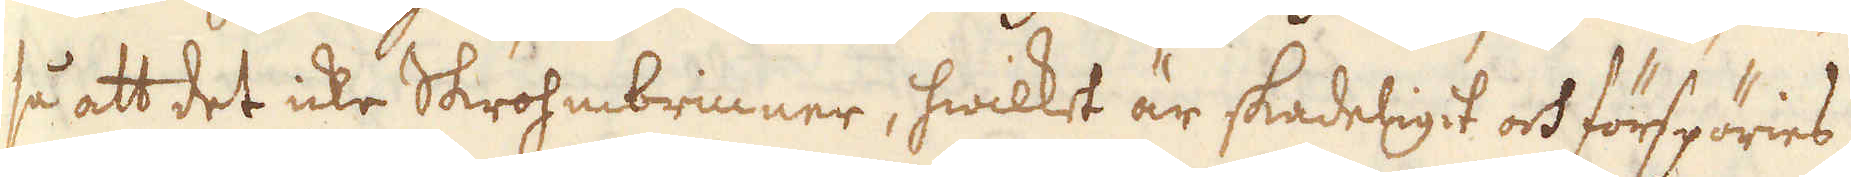så att det icke Skrohmbrinner, hwilket är skadeligit och förspöries
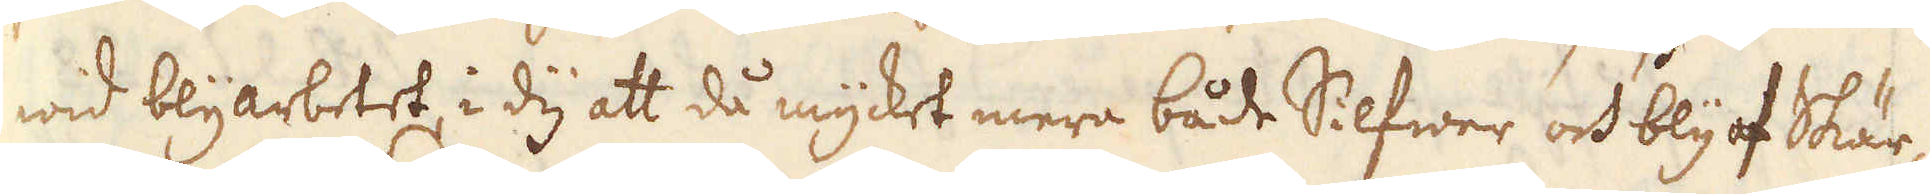wid blyarbetet, i dy att då mycket mera både Silfwer och bly af Skär-
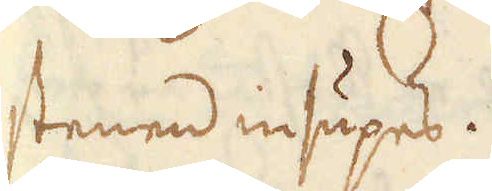stenen insupes.
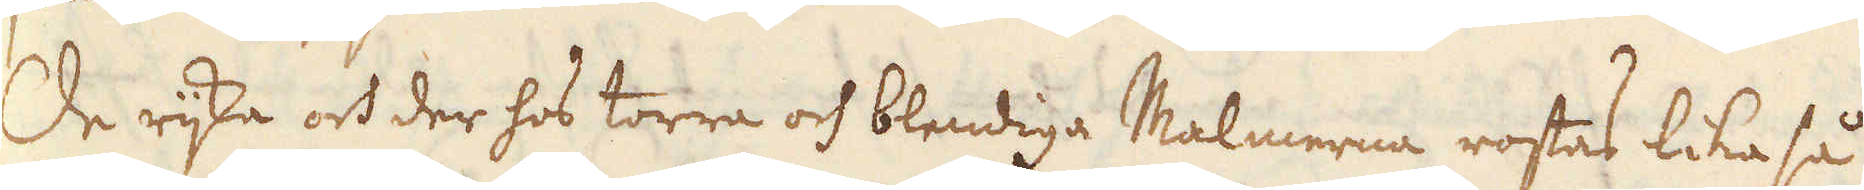De rijka och der hos torra och blendiga Malmerna rostas lika så
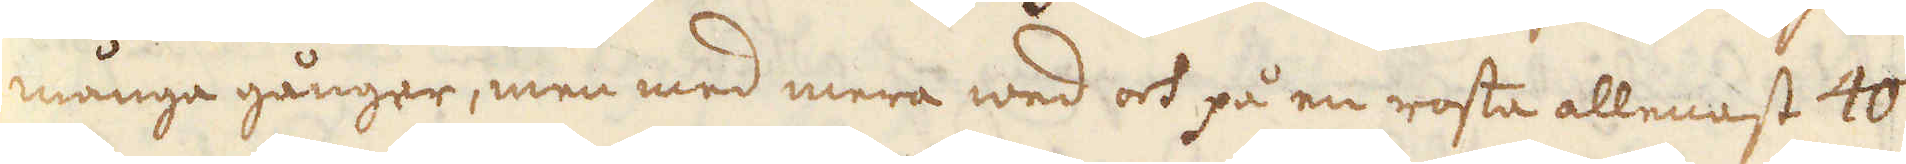många gånger, men med mera wed och på en rosta allenast 40
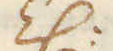Z:
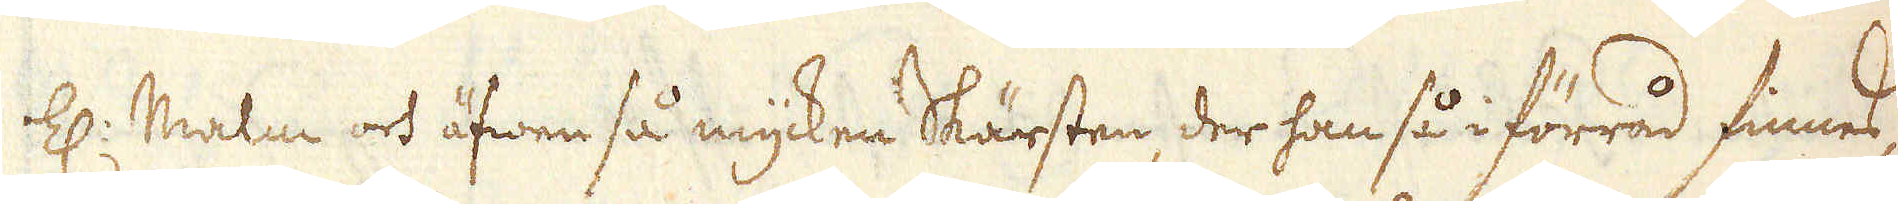Z: Malm och äfwen så mycken Skärsten, der han så i förråd finnes,
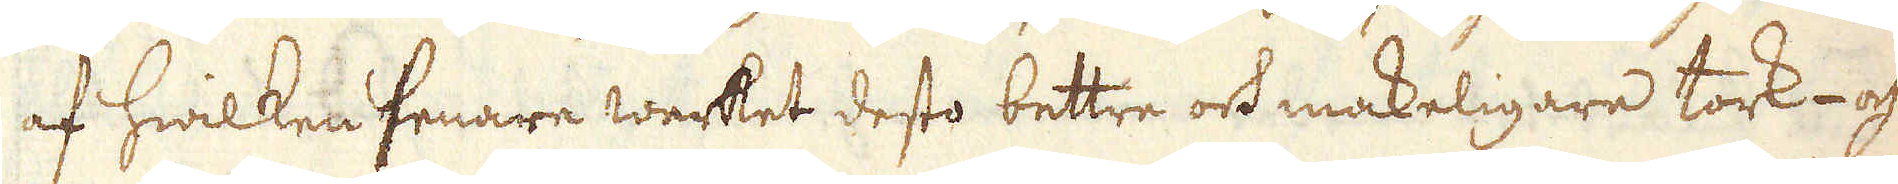af hwilken senare werket desto bettre och makeligare tork- och
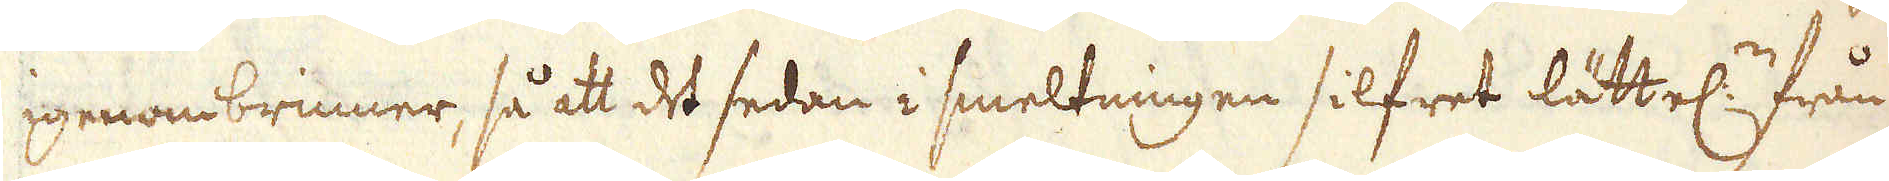igenombrinner, så att det sedan i smeltningen silfret lättel:n från
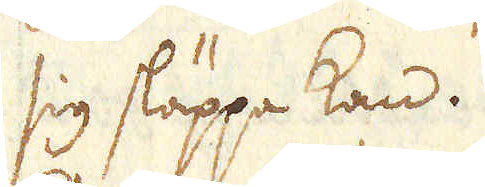sig släppa kan.
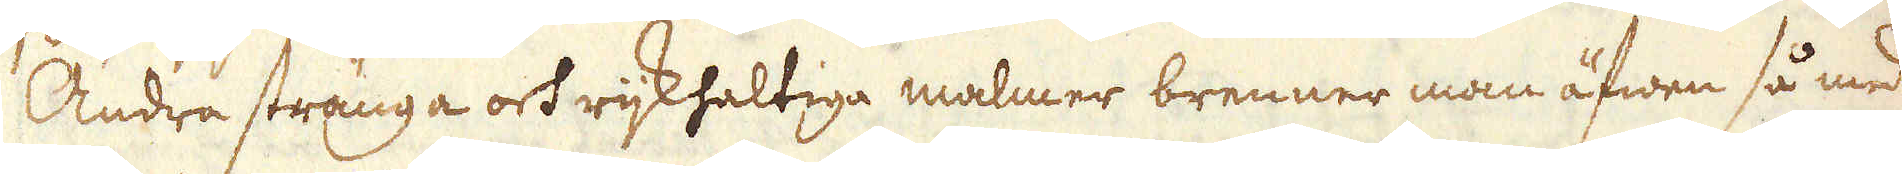Andra stränga och rijkhaltiga malmer brenner man äfwen så med
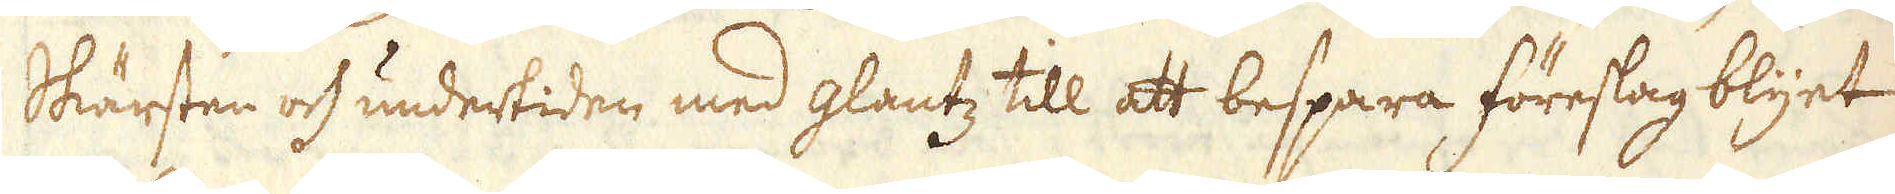Skärsten och undertiden med glantz till att bespara föreslag blyet
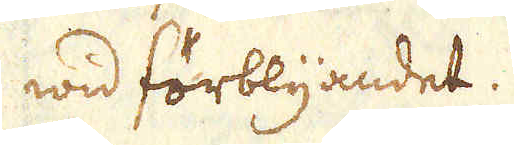wid förblyandet.
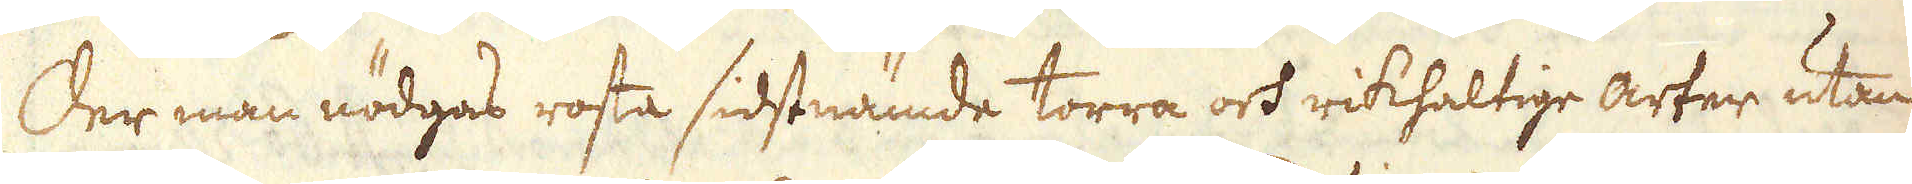Der man nödgas rosta sidstnämde torra och rikhaltige arter utan
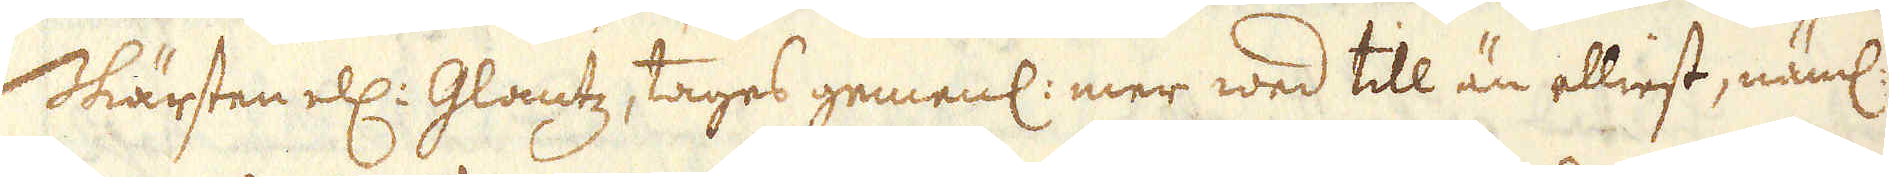Skärsten ell: Glantz, tages gemenl: mer wed till än elliest, näml:
